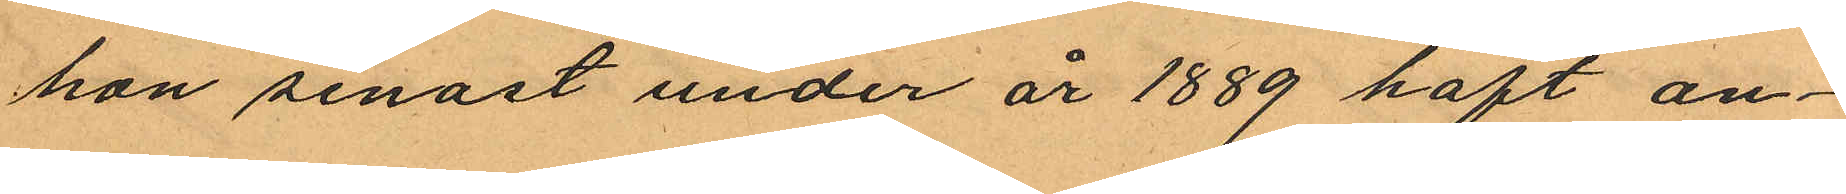hon senast under år 1889 haft an¬
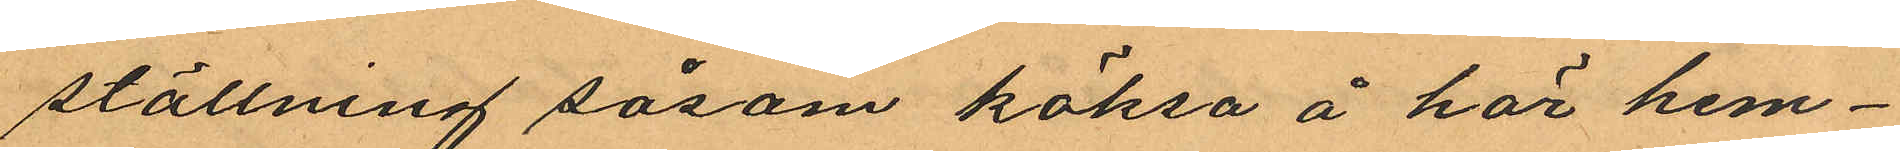ställning såsom köksa å här hem¬
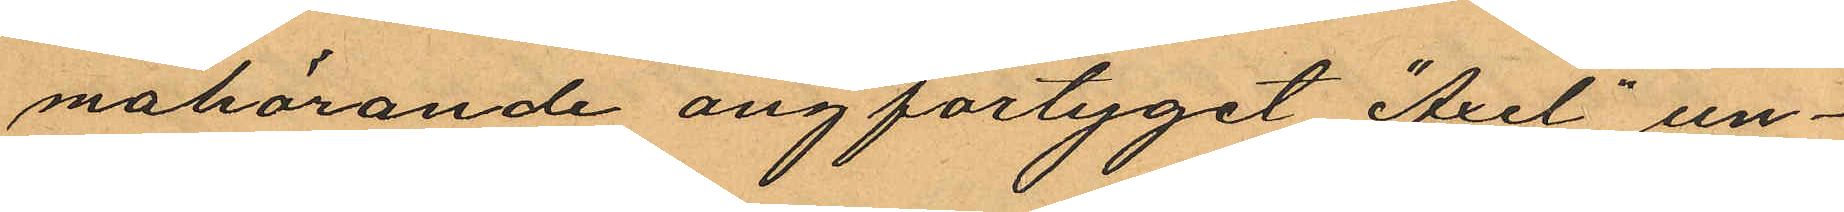nahörande ångfartyget "Axel" un¬
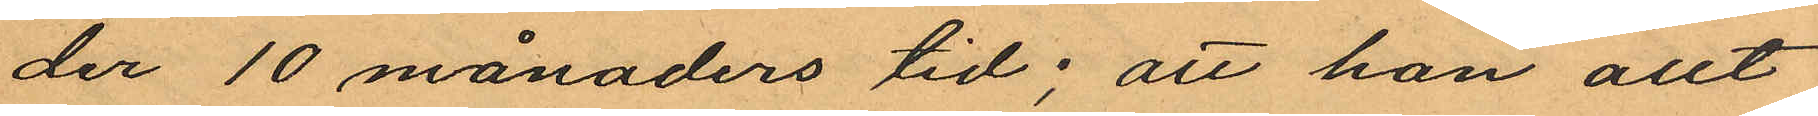der 10 månaders tid; att hon allt
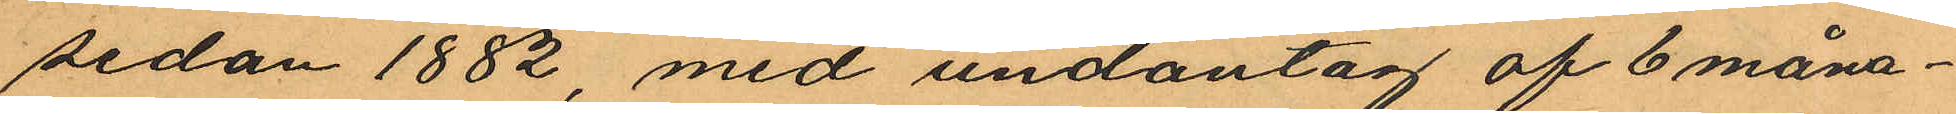sedan 1882, med undantag af 6 måna¬
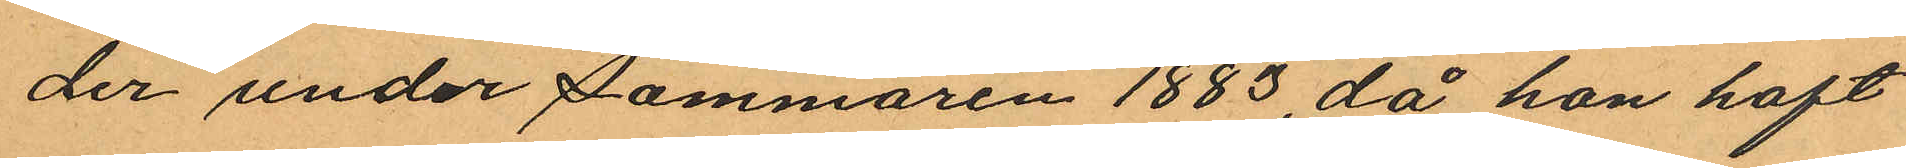der under sommaren 1883, då hon haft
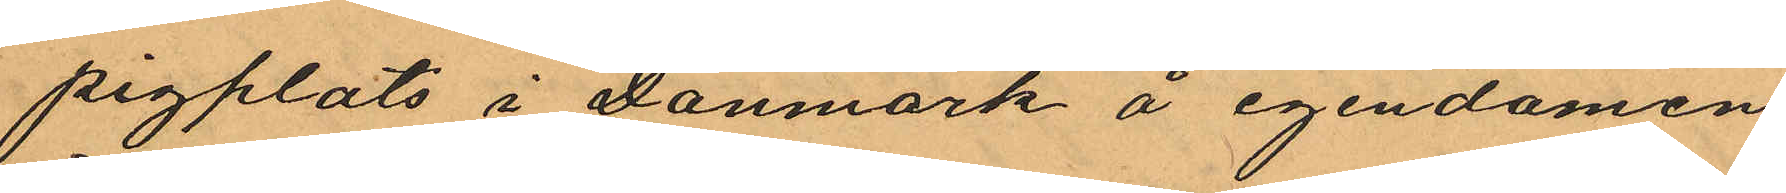pigplats i Danmark å egendomen
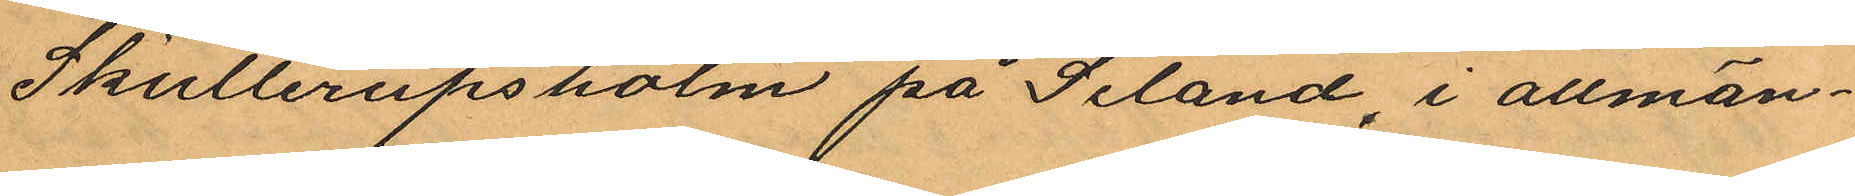Skullerupsholm på Seland, i allmän¬
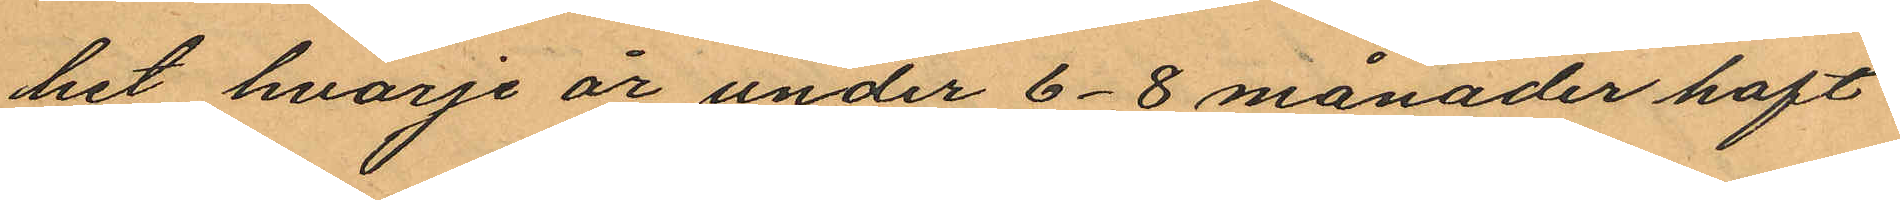het hvarje år under 6-8 månader haft
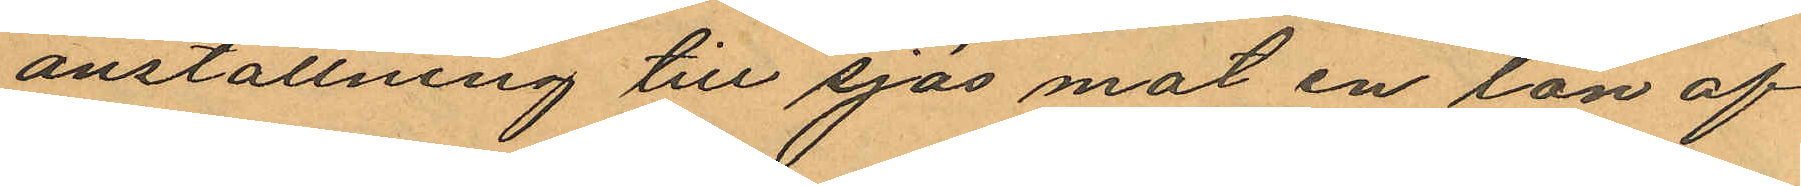anställning till sjös mot en lön af
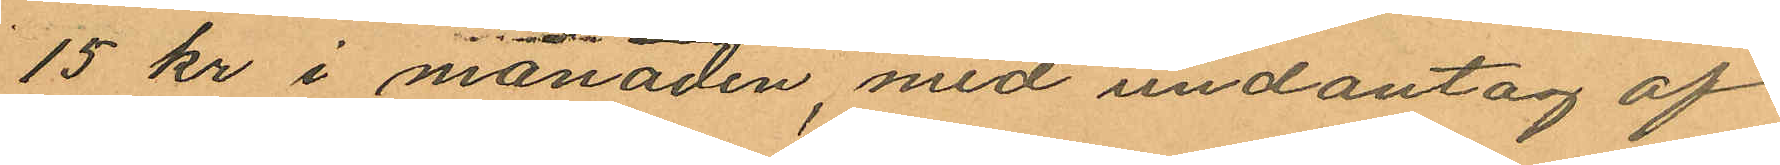15 kr i månaden, med undantag af
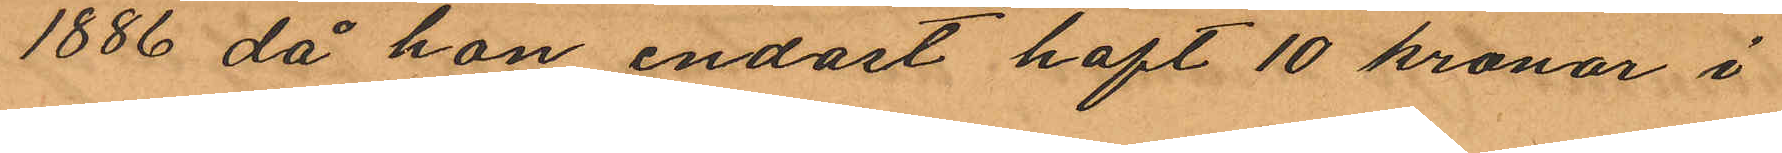1886 då hon endast haft 10 kronor i
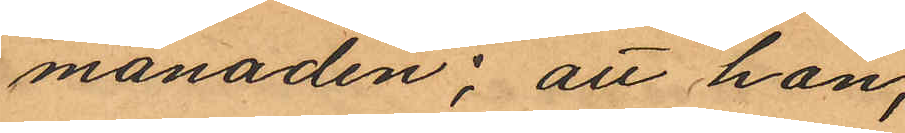månaden; att hon,
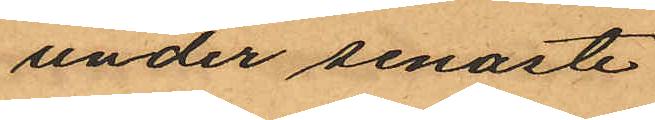under senaste
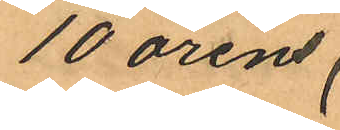10 årens
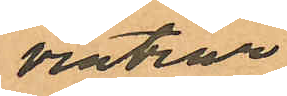vintrar
